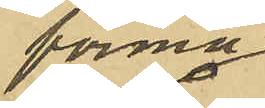förmå
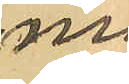ma¬
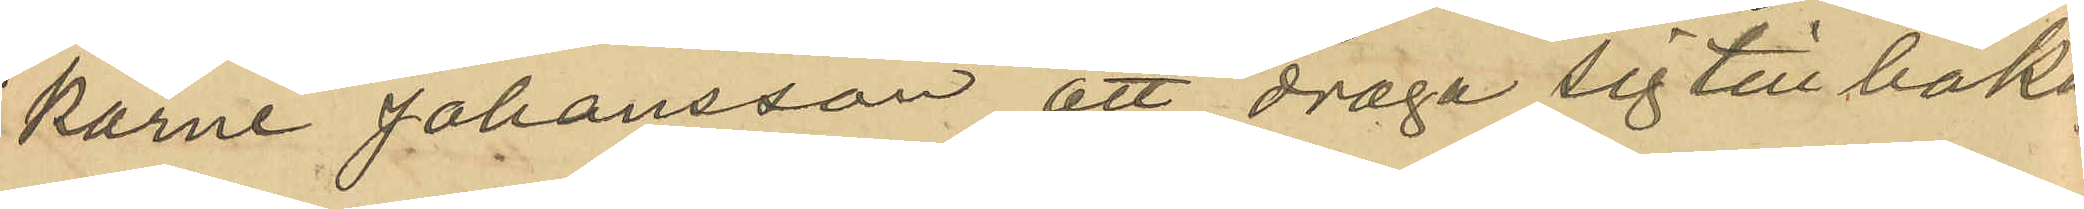karne JJhansson att draga sig till baka;
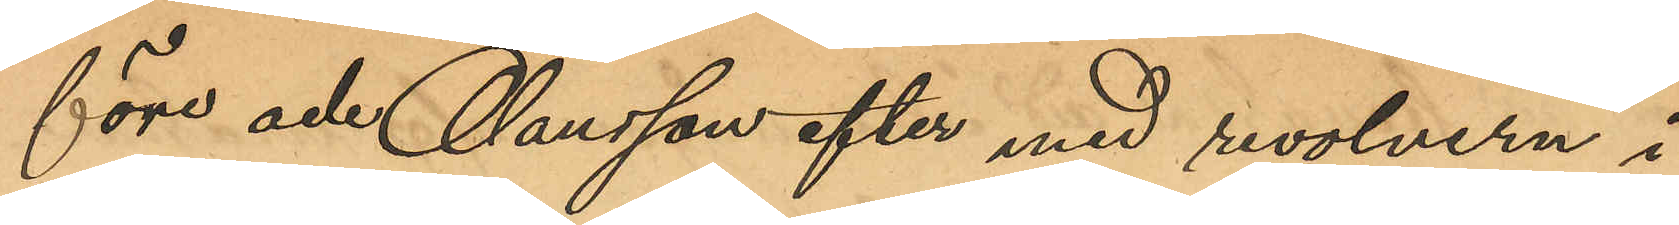före och Olausson efter med revolvern i
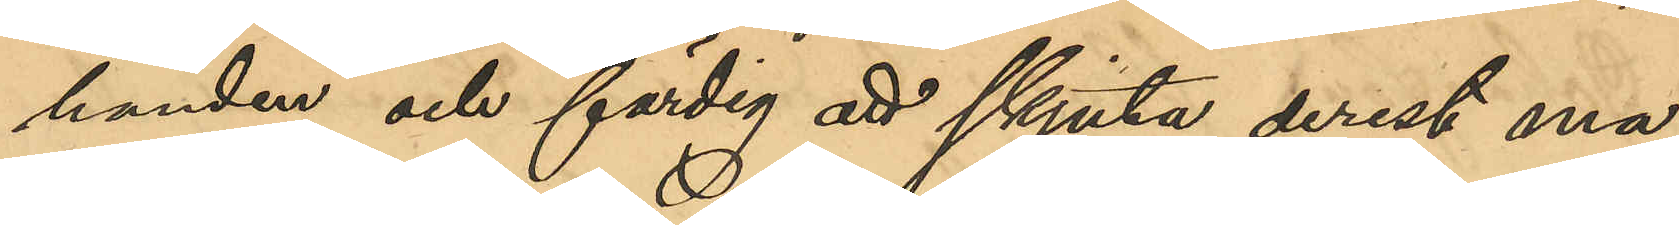handen och färdig att skjuta derest ma¬
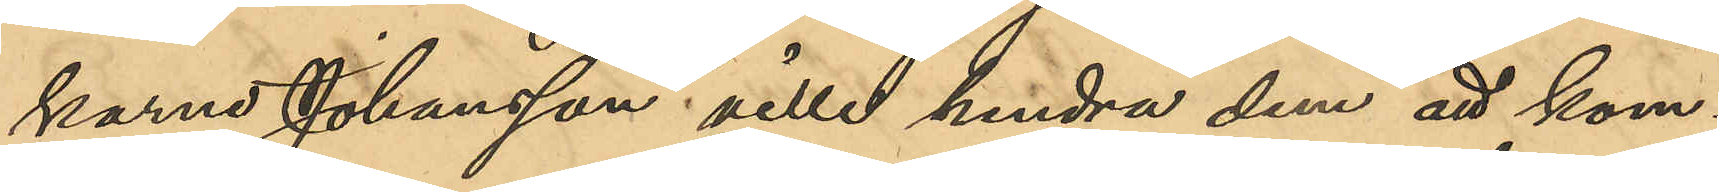karne Johansson ville hindra dem att kom¬
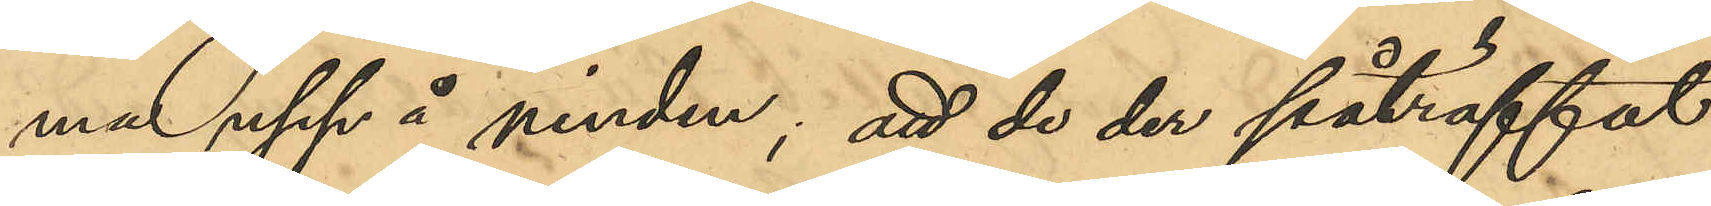ma upp å vinden; att de der påträffat
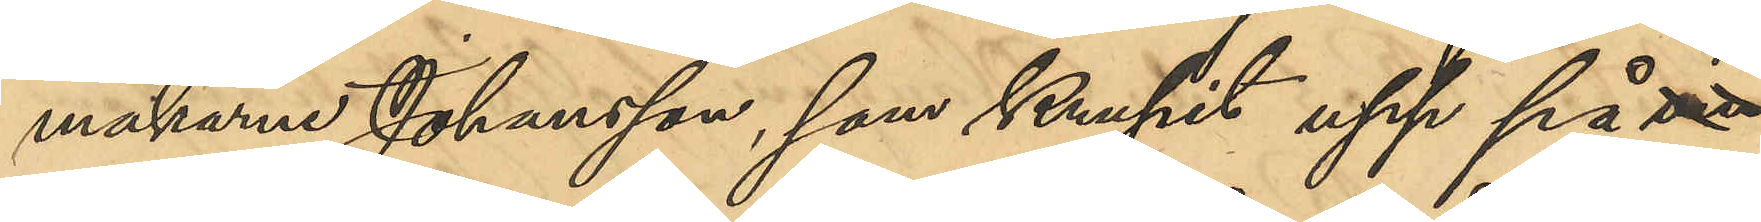makarne Johansson, som krupit upp på vin¬
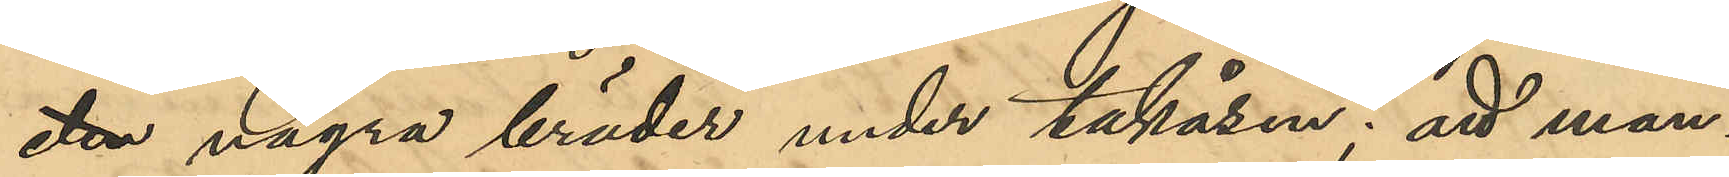den några bräder under takåsen; att man¬
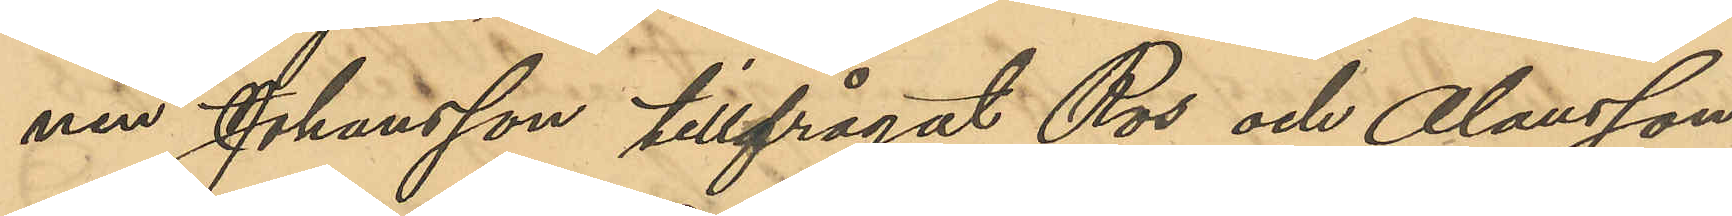nen Johansson tillfrågat Ros och Olausson
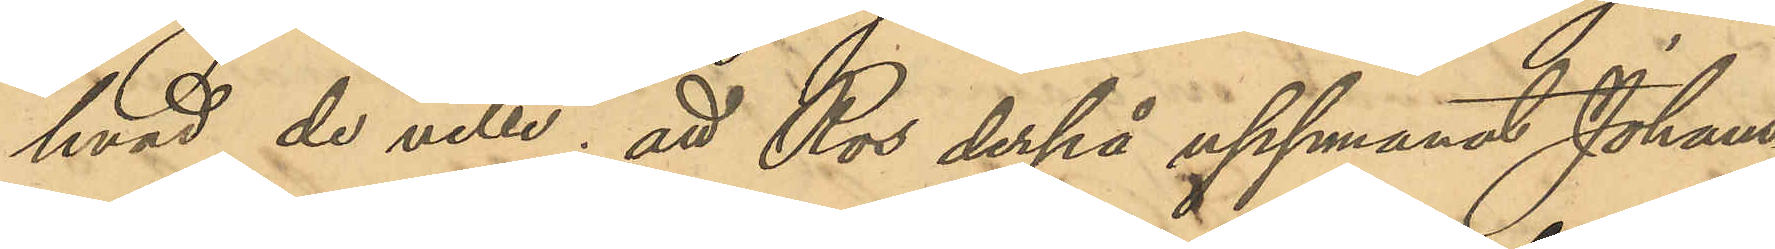hvad de ville; att Ros derpå uppmanat Johans¬
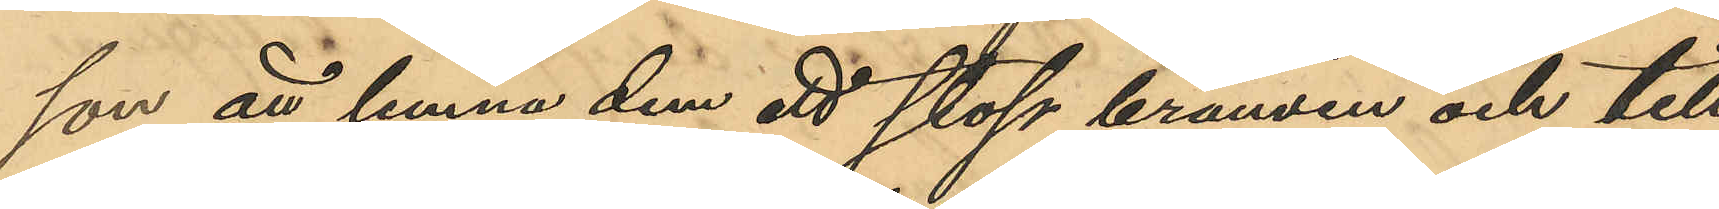son att lemna dem ett stop brännvin och till
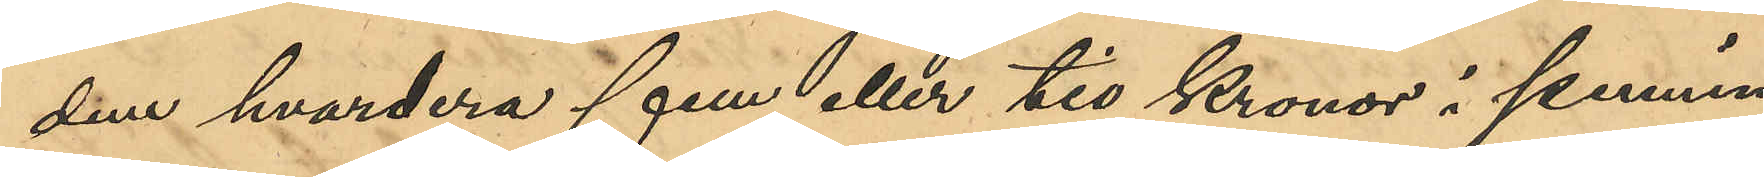dem hvardera fem eller tio kronor i pennin¬
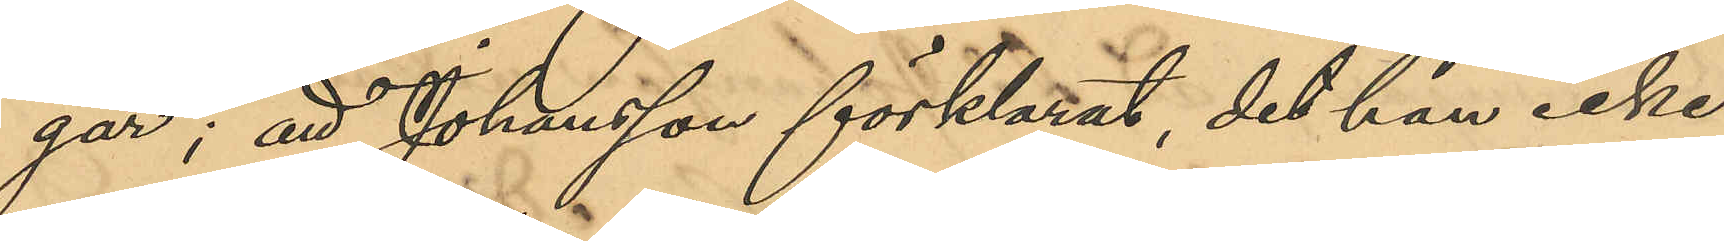gar; att Johansson förklarat, det han icke
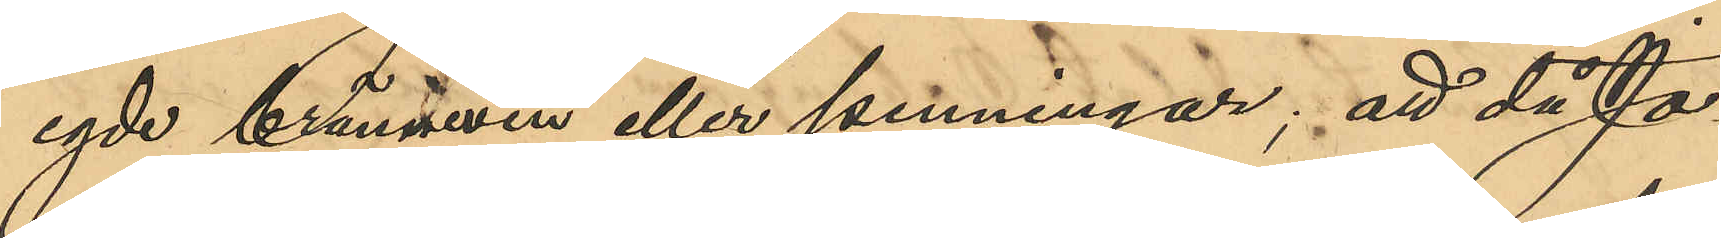egde brännvin eller penningar; att då Jo¬
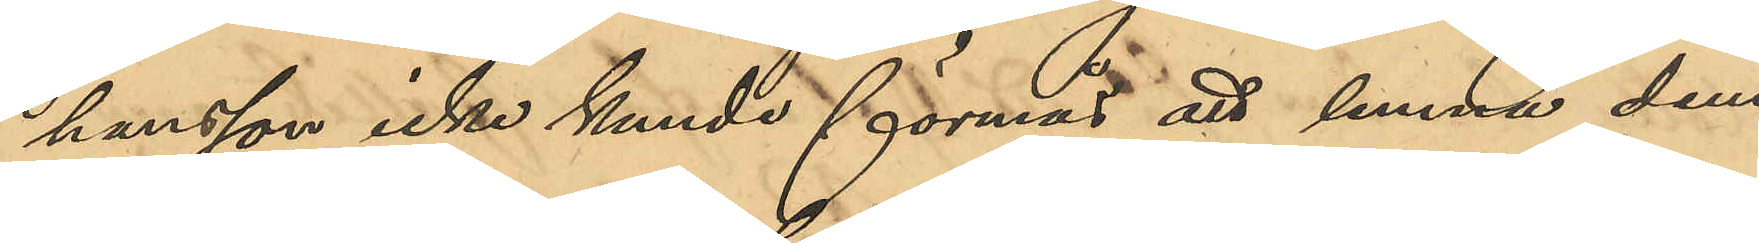hansson icke kunde förmås att lemna dem
